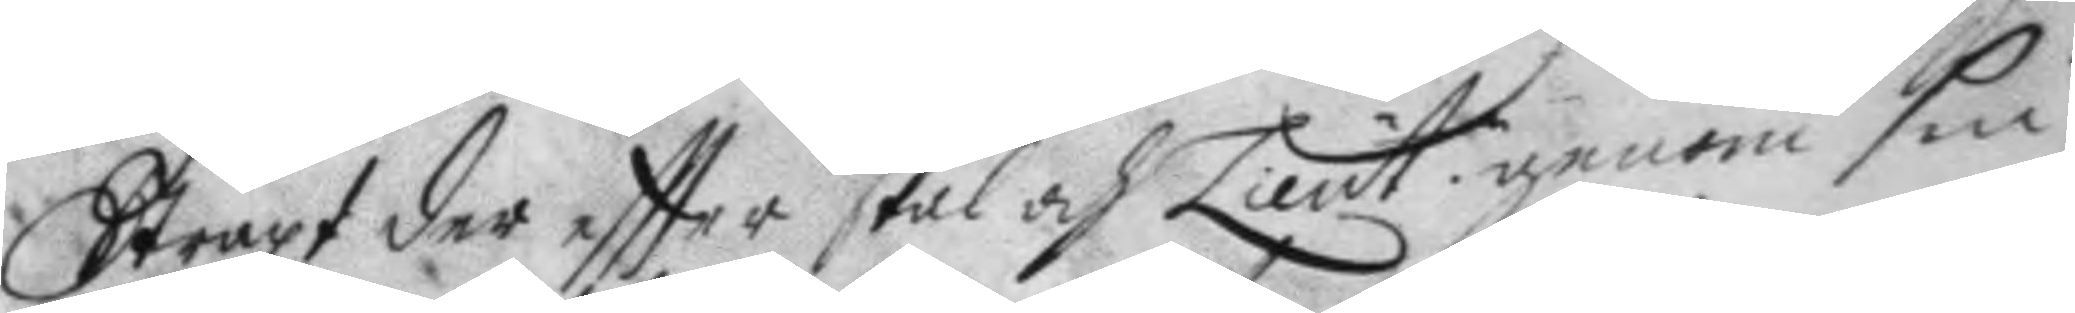Straxt der eftter skal och Lieut. genom sin
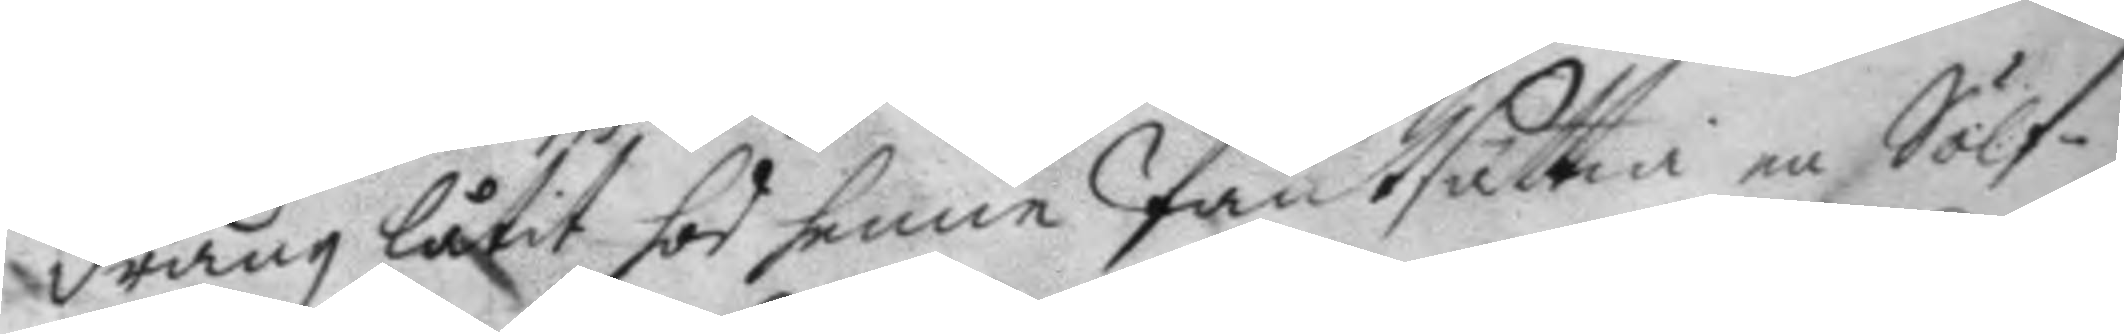dräng låtit hos henne Pantsättia en Sölf¬
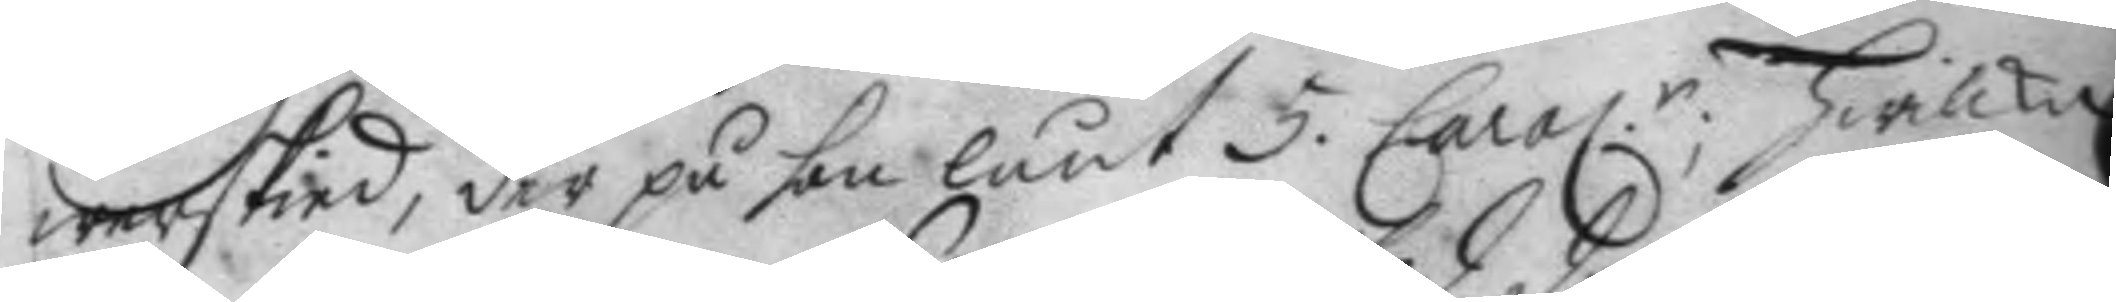werskied, der på hon lånt 5. Carol.r Hwilke 
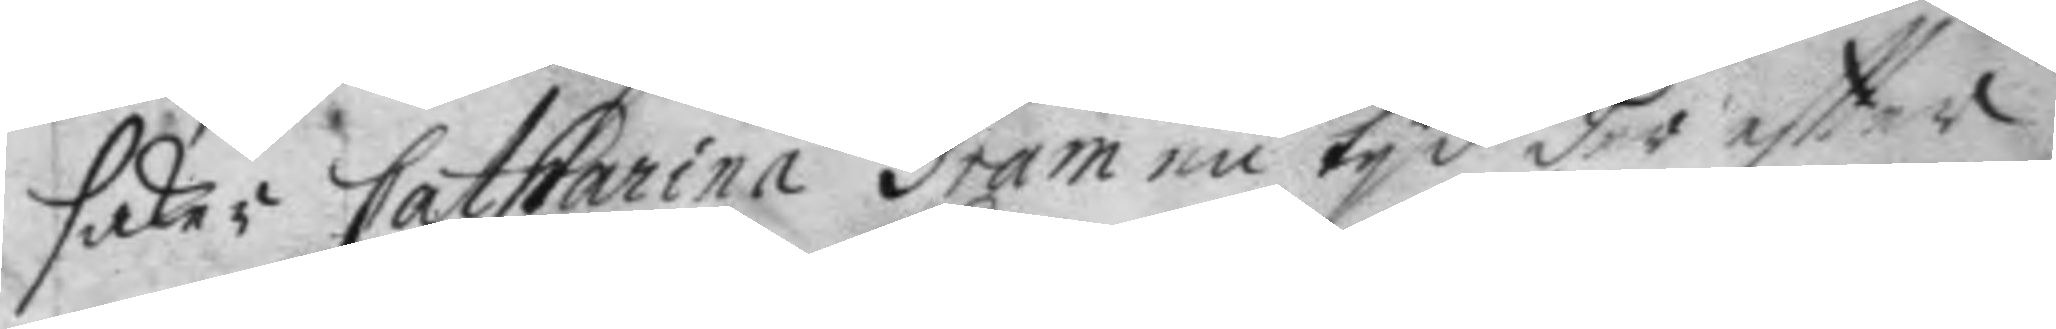saker Catharina Gram en tyd der eftter
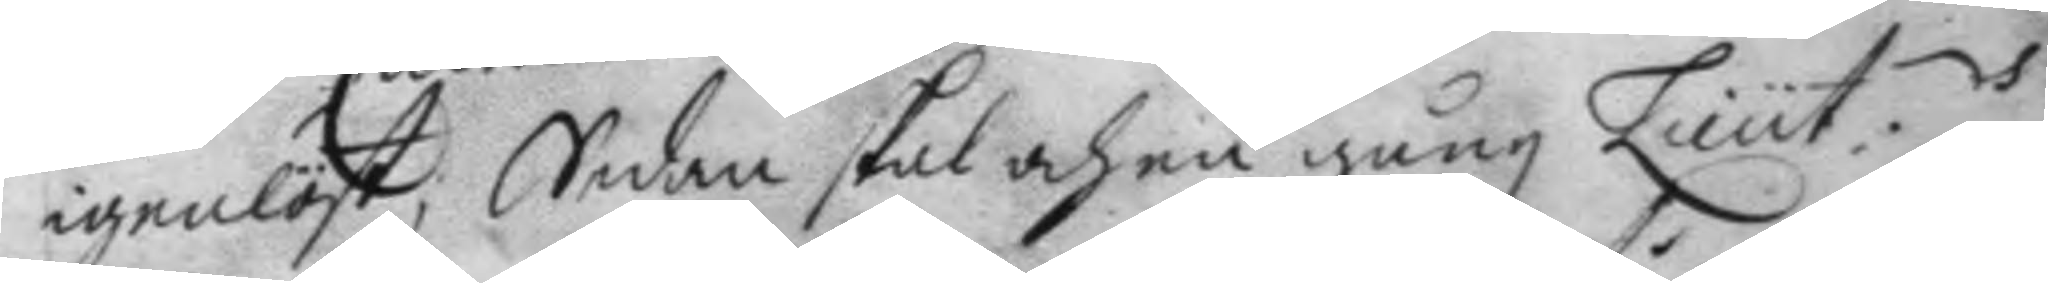igenlöst; Sedan skal och en gång Lieut.s
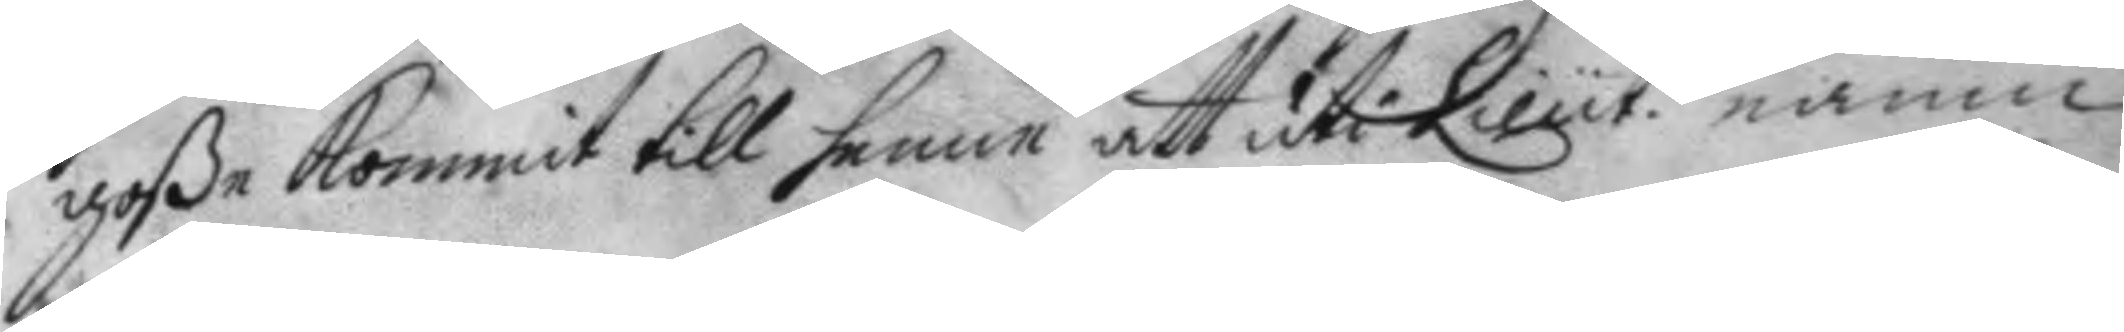goße kommit till henne att uti Lieut. namn
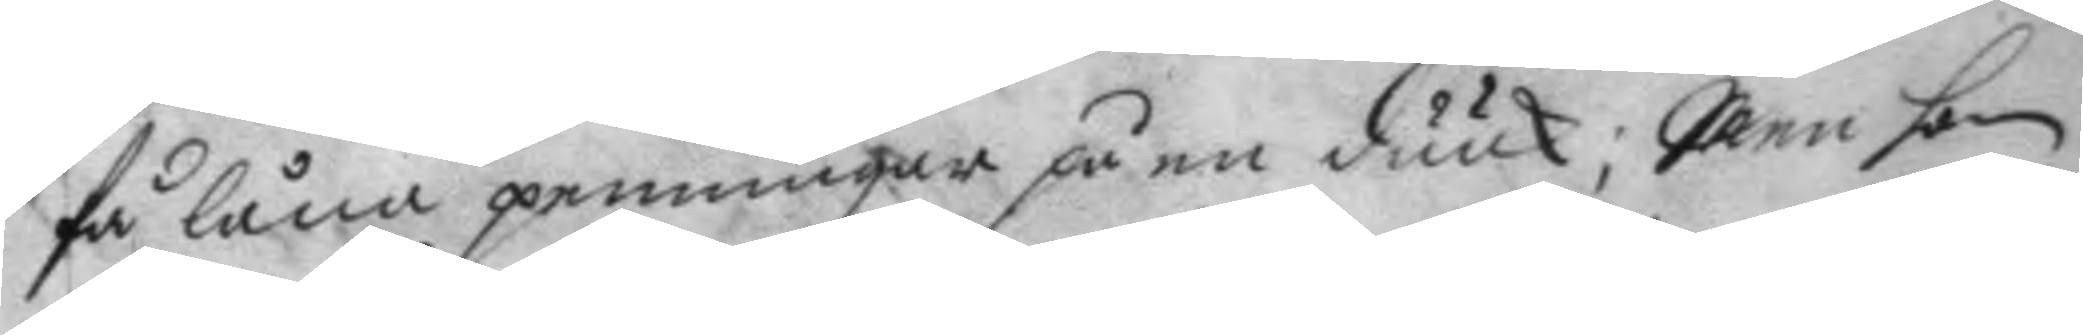få låna penningar på en duuk; Men hon
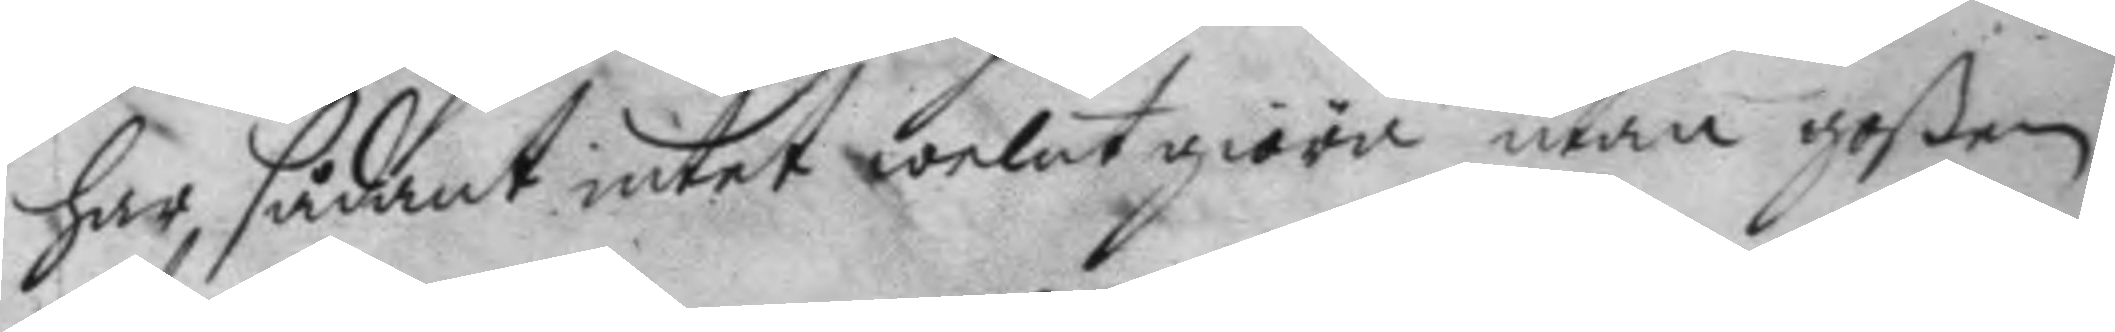har, sådant intet welat giöra utan goßen
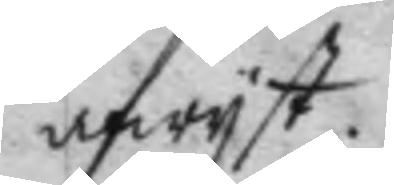afwyst.
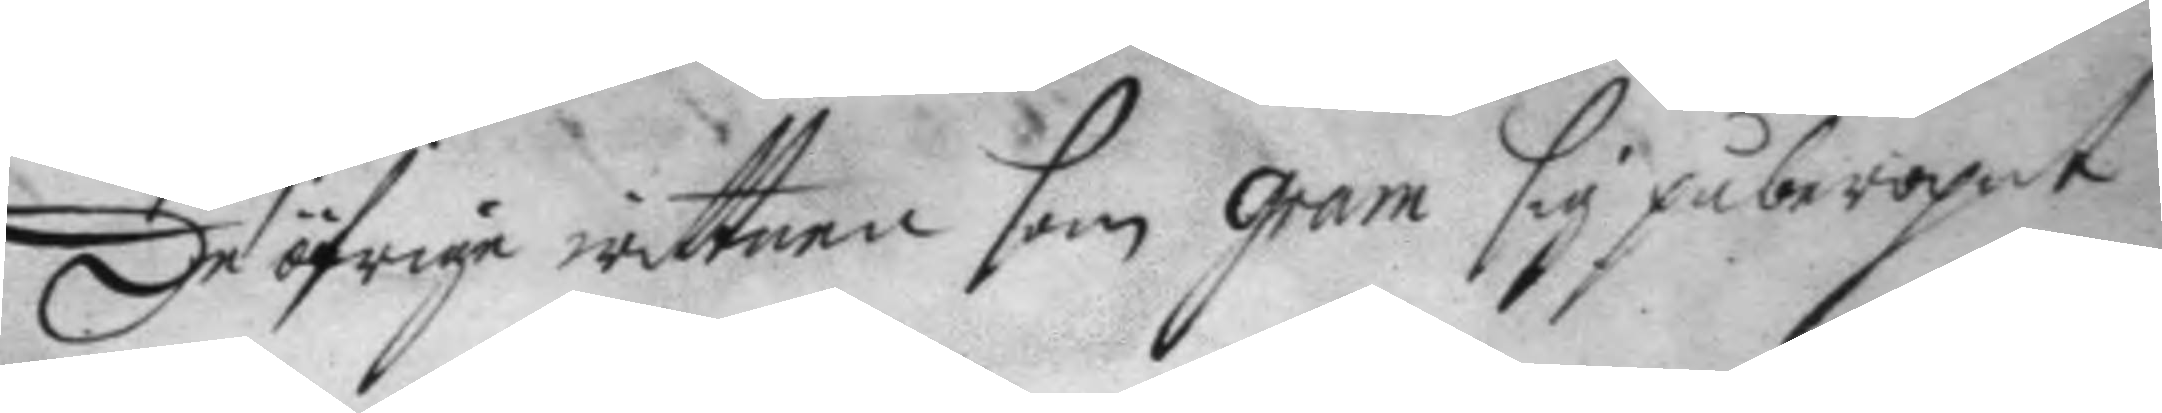De öfrige wittnen som gram sig påberopat
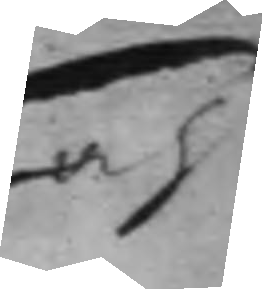och
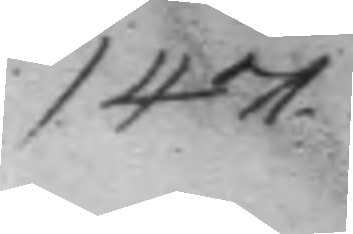147.
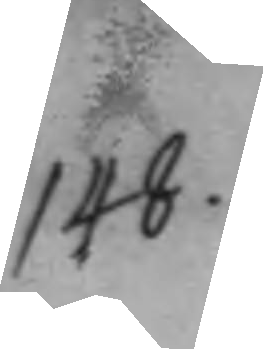148.
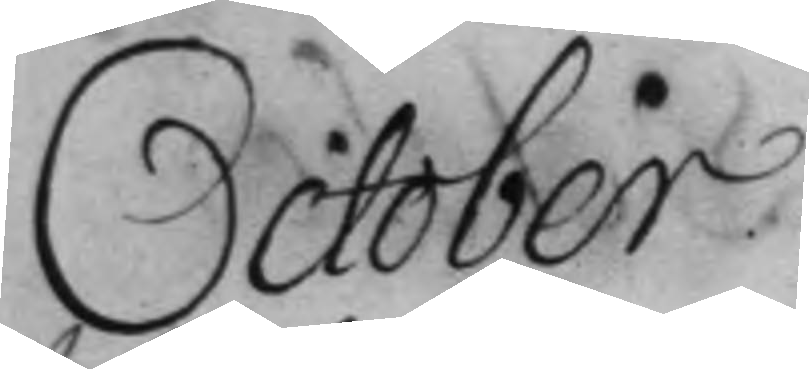October.
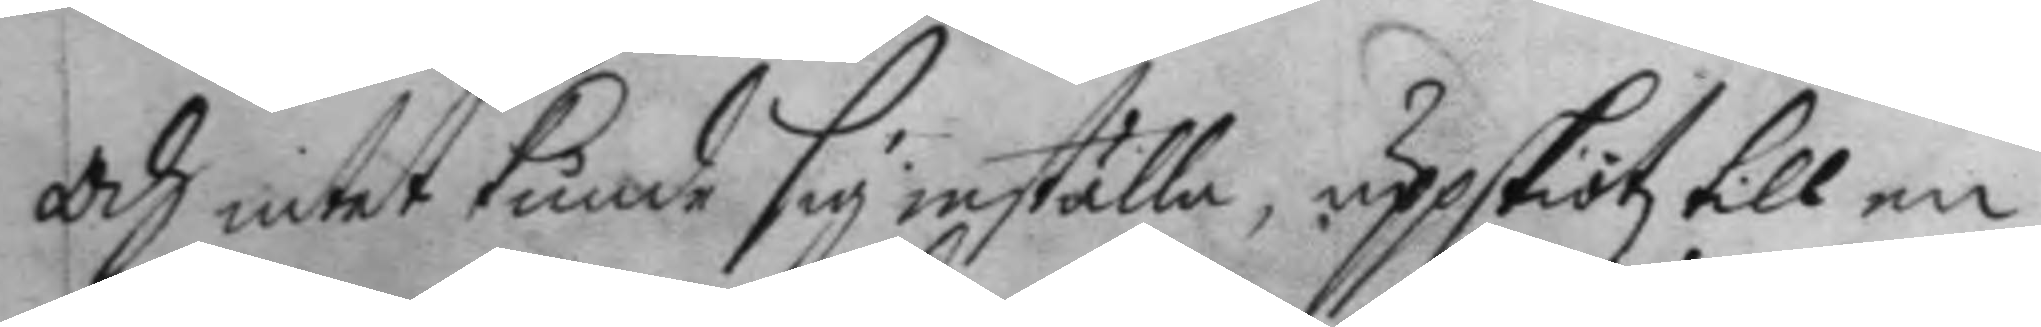och intet kunde sig inställa, uppskiötz till en
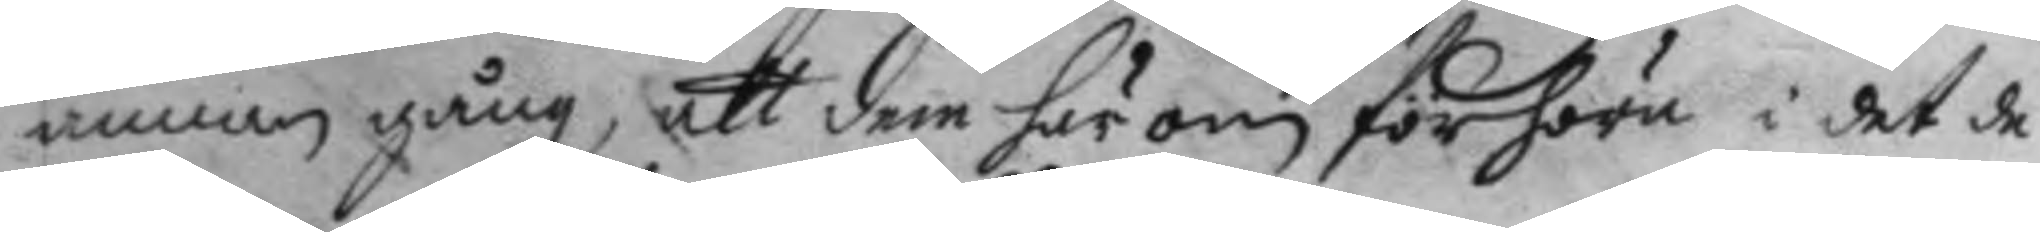annan gång, att dem härom förhöra i det de
